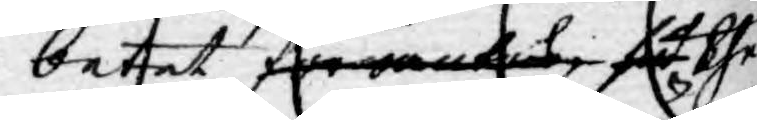betet förwäntas så the¬
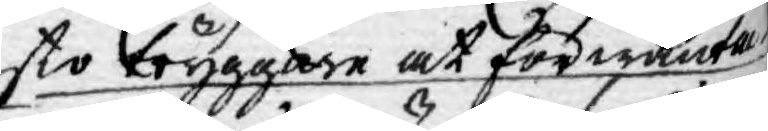sto tryggare at förwänta
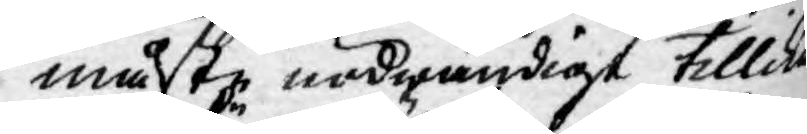måste nödwändigt tillika
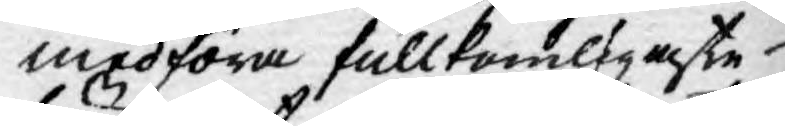medföra fullkomligaste
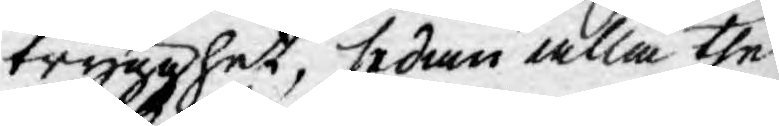trygghet, sedan alla the
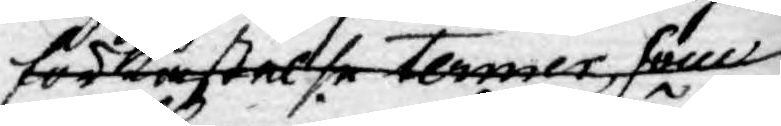förkastelse termer som
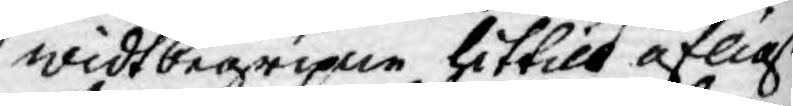widtbegripne hittils öflige
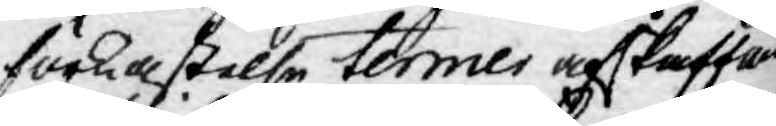förkastelse termer afskaffad
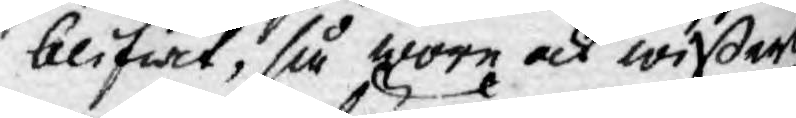blifwit, så wore ock wißerli¬
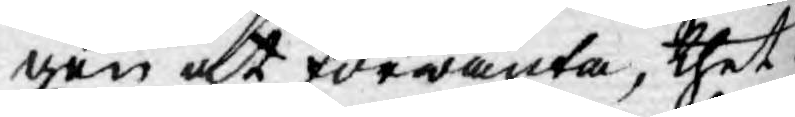gen at förwänta, thet
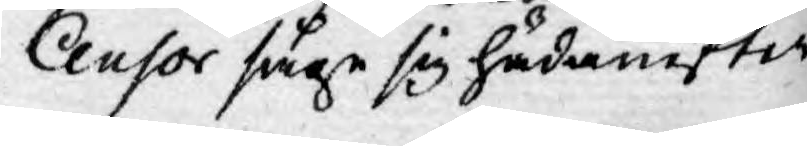Censor såge sig hädanefter
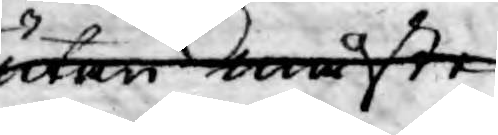utan måste
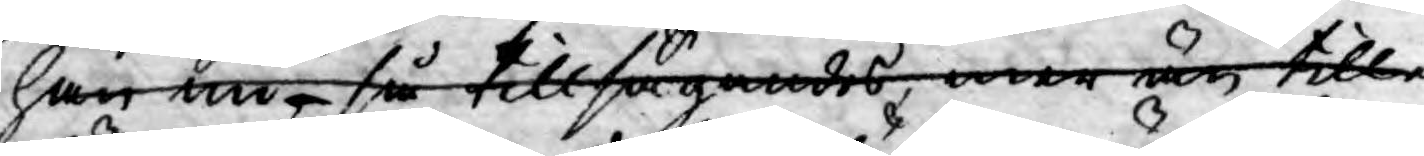han nu, så tillsägandes, mer än till¬
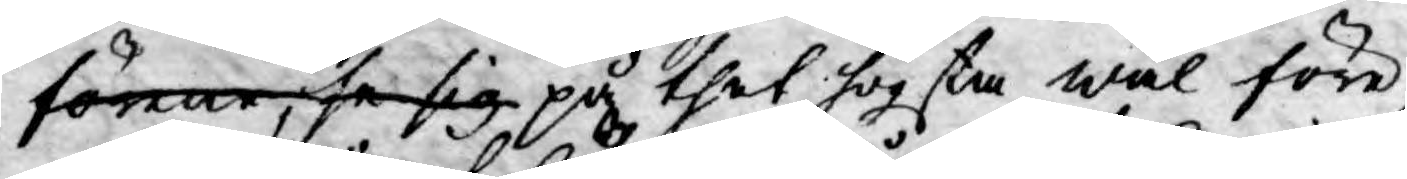förene, se sig på thet högsta wäl före,
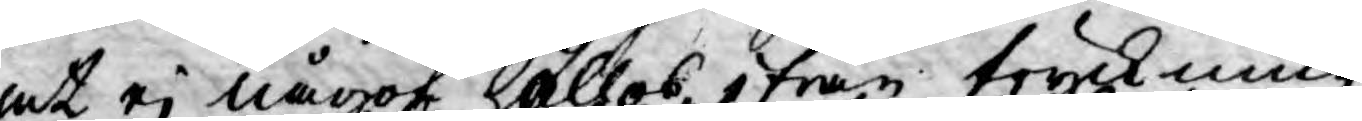at ej något höllos ifrån tryckning,
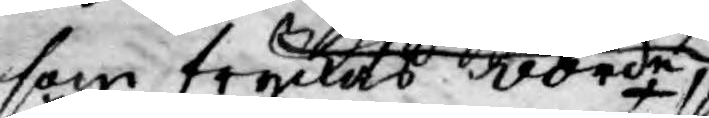som tryckes vorde,
